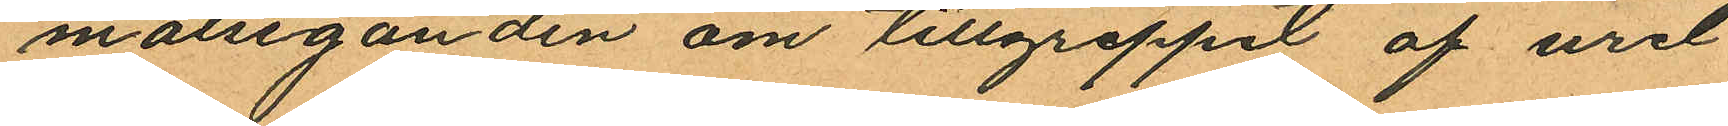målseganden om tillgreppet af uret
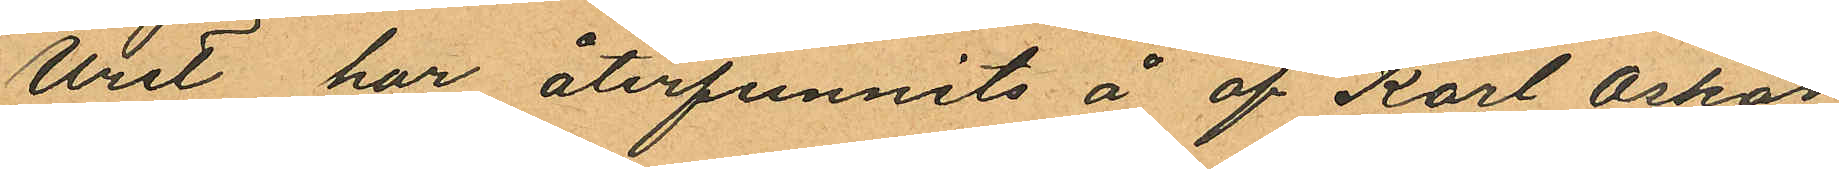Uret har återfunnits å af Karl Oskar
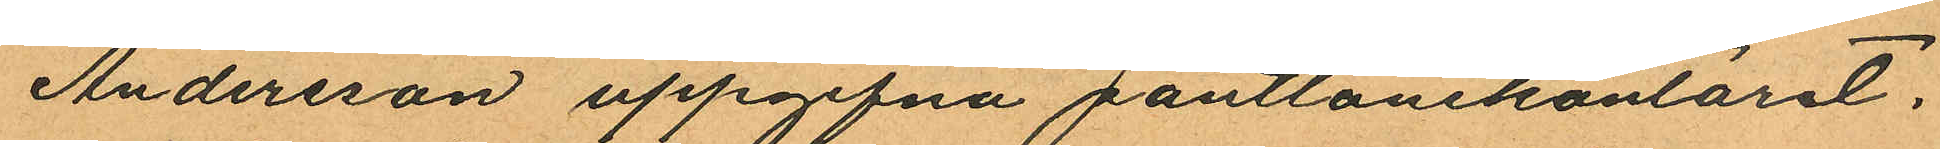Andersson uppgifna pantlånekontoret.
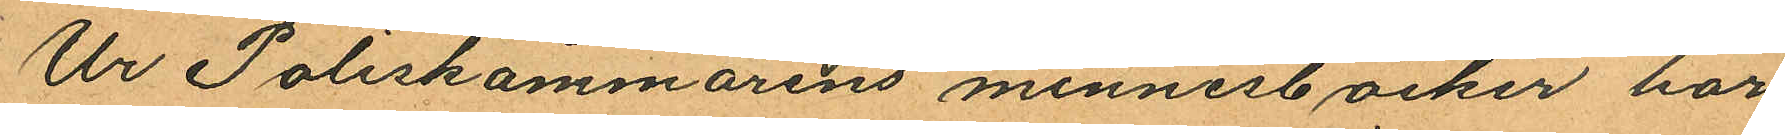Ur Poliskammarens minnesböcker har
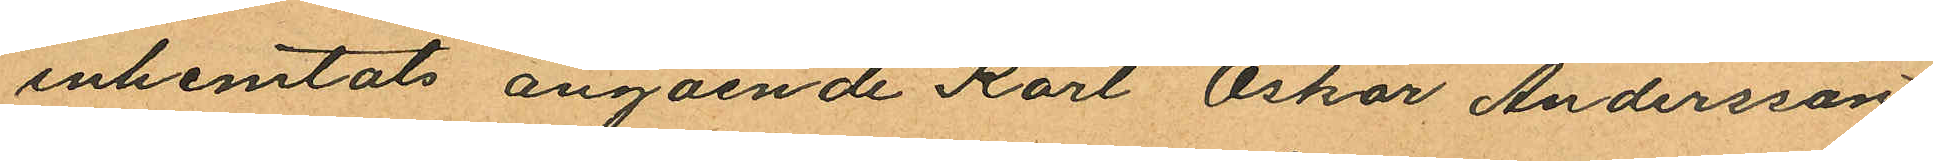inhemtats angående Karl Oskar Andersson
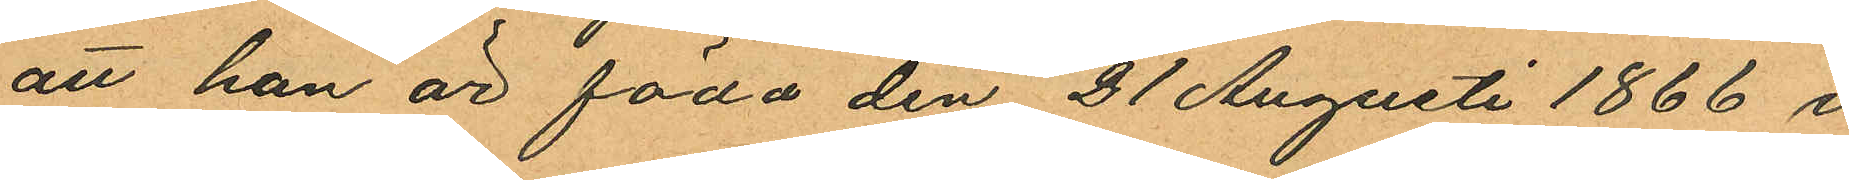att han är född den 21 Augusti 1866 i
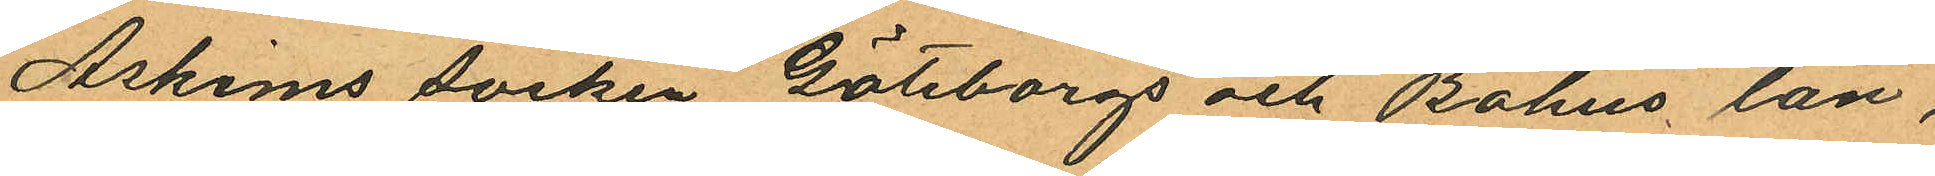Askims socken Göteborgs och Bohus län,
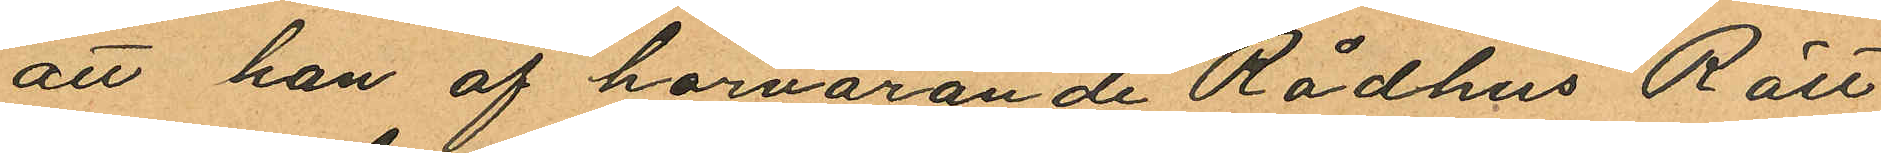att han af härvarande Rådhus Rätt
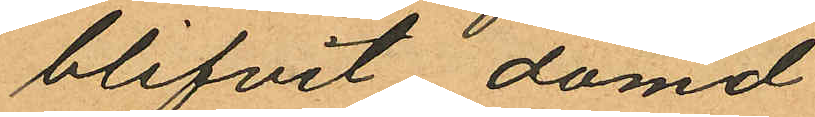blifvit dömd
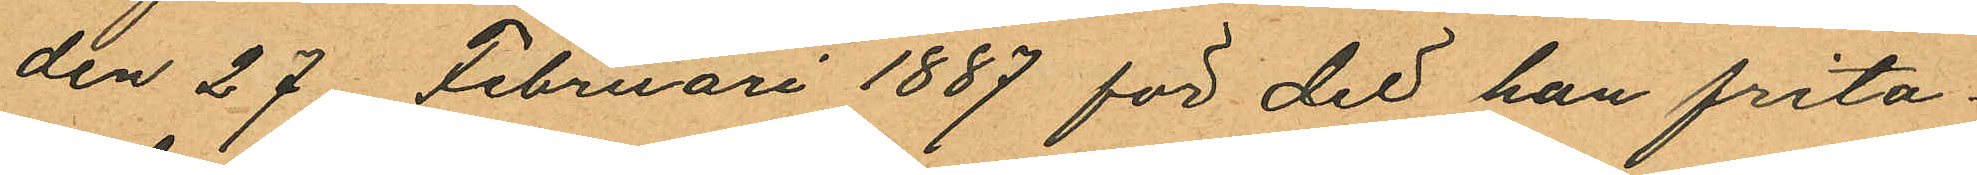den 27 Februari 1887 för det han frita
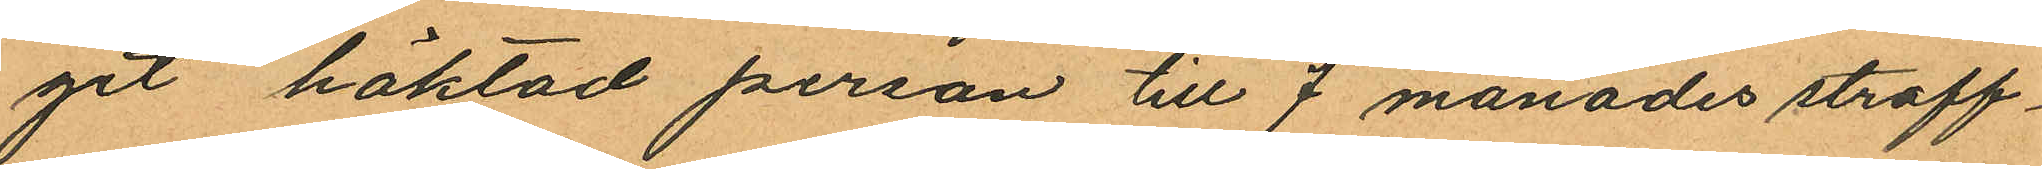git häktad person till 7 månades straff¬
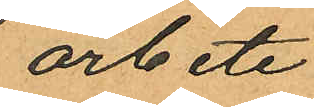arbete,
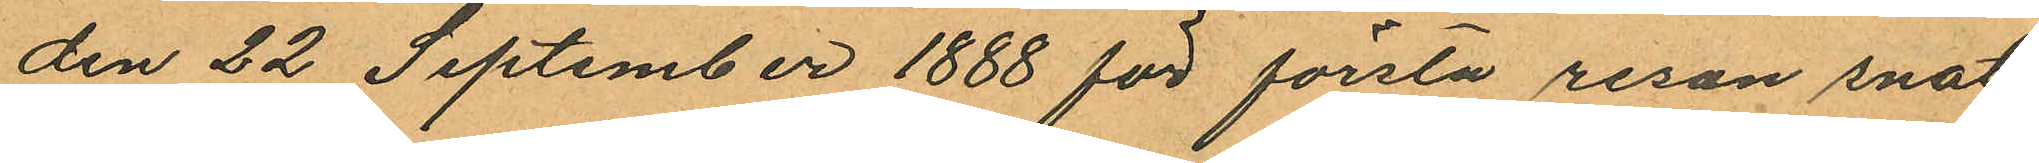den 22 September 1888 för första resan snat
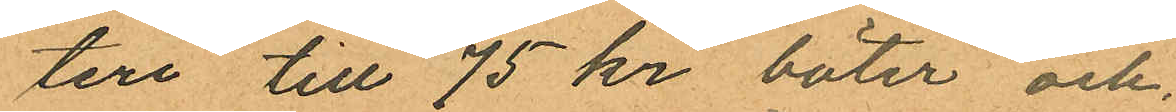teri till 75 kr böter och
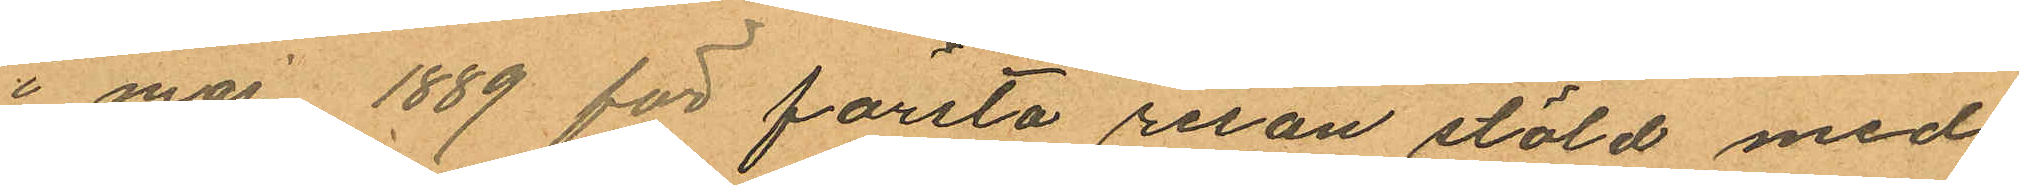i maj 1889 för första resan stöld med
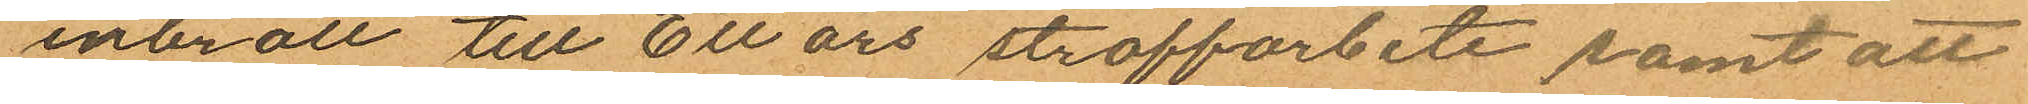inbrott till Ett års straffarbete samt att
